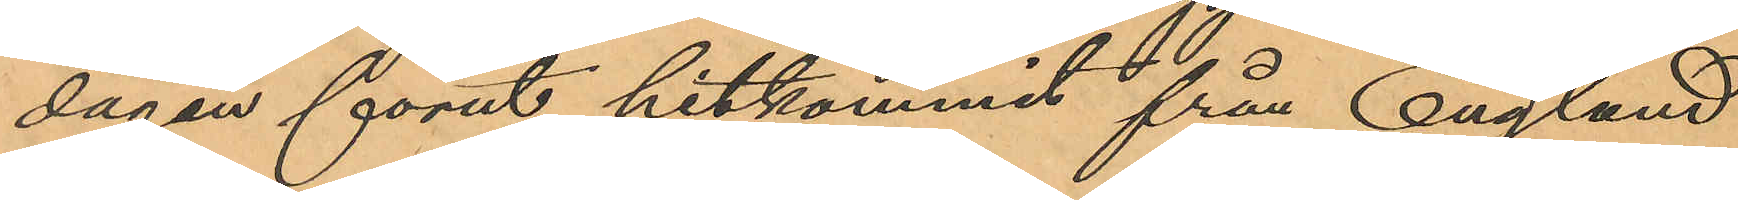dagen förut hitkommit från England
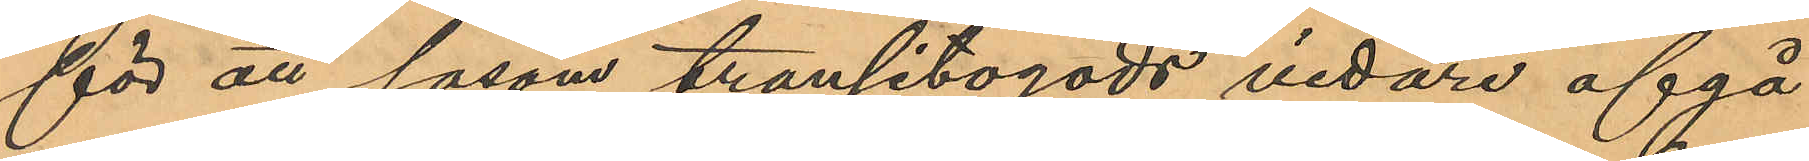för att såsom transitogods vidare afgå
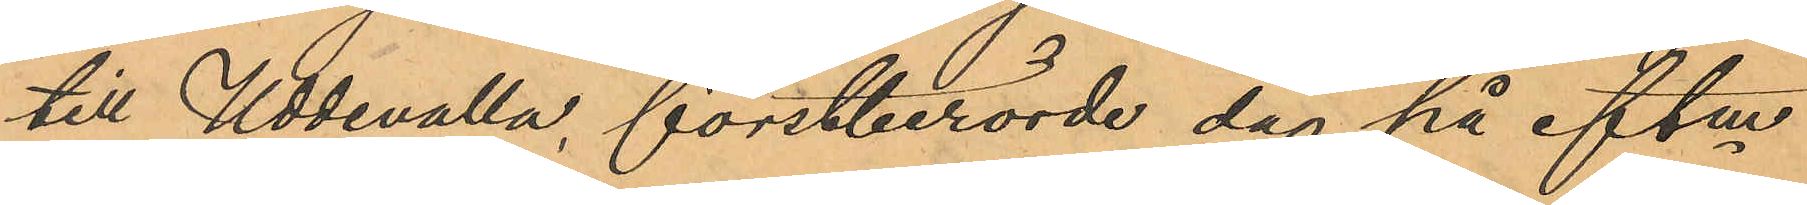till Uddevalla, förstberörde dag på eftm
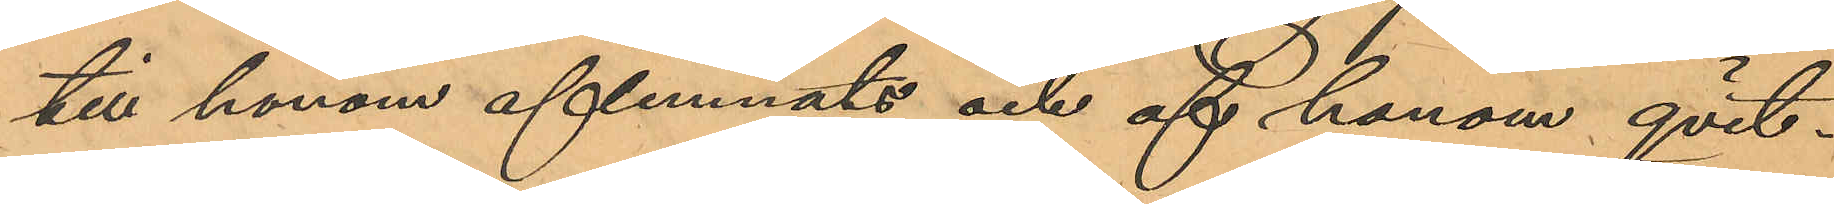till honom aflemnats och af honom qvit¬
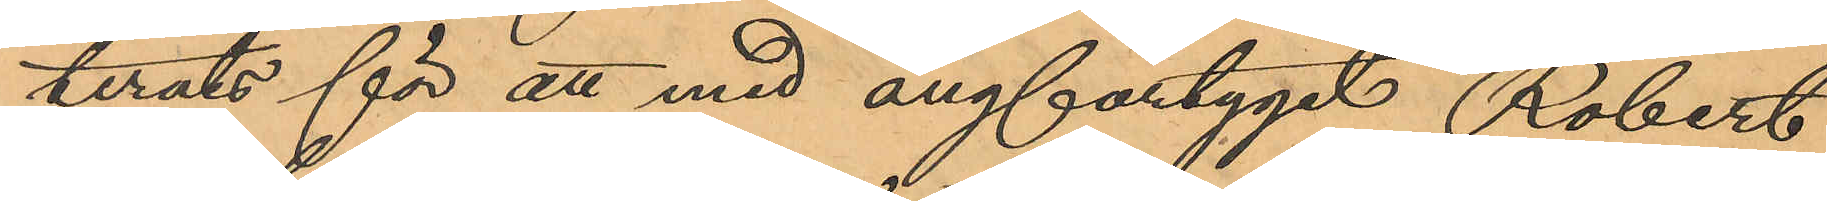terats för att med ångfartyget "Robert
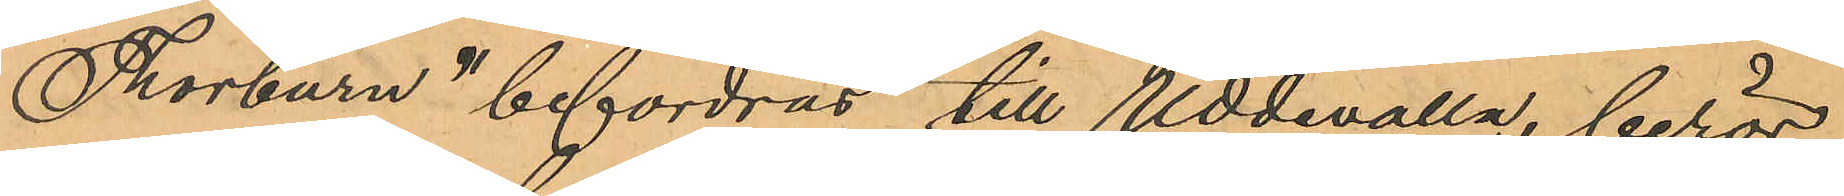Thorburn" befordras till Uddevalla, berör¬
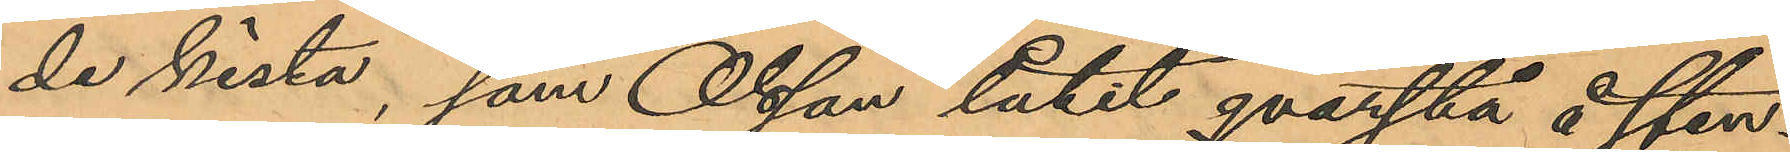de kista, som Olsson låtit qvarstå å Sten¬
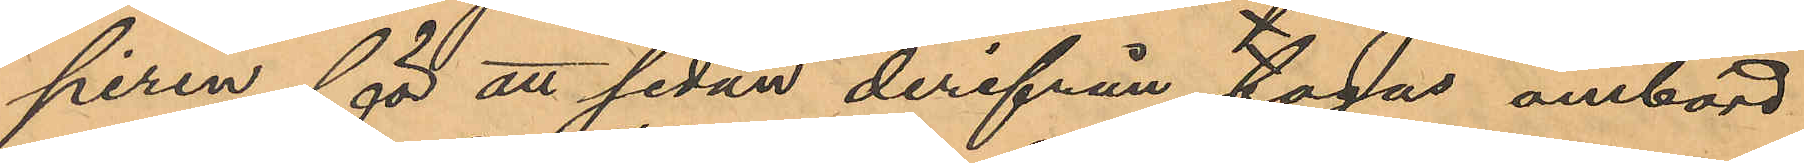piren för att sedan derifrån tagas ombord
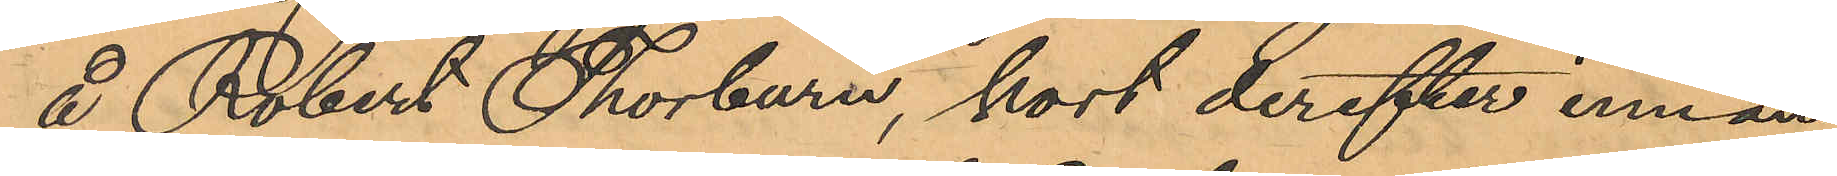å Robert Thorburn, kort derefter innan
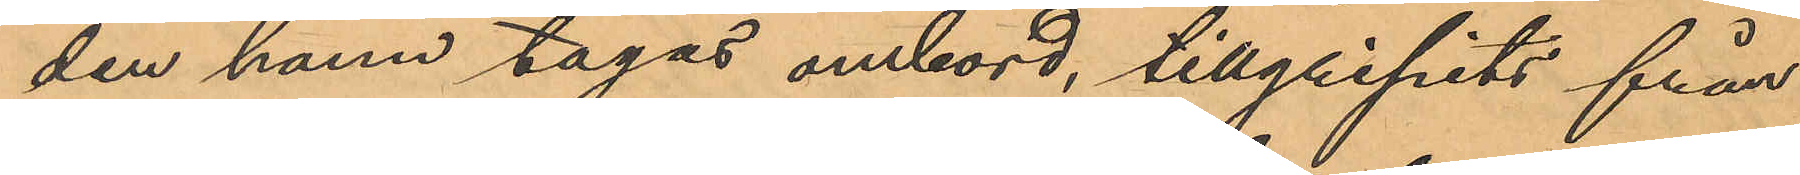den hann tagas ombord, tillgripits från
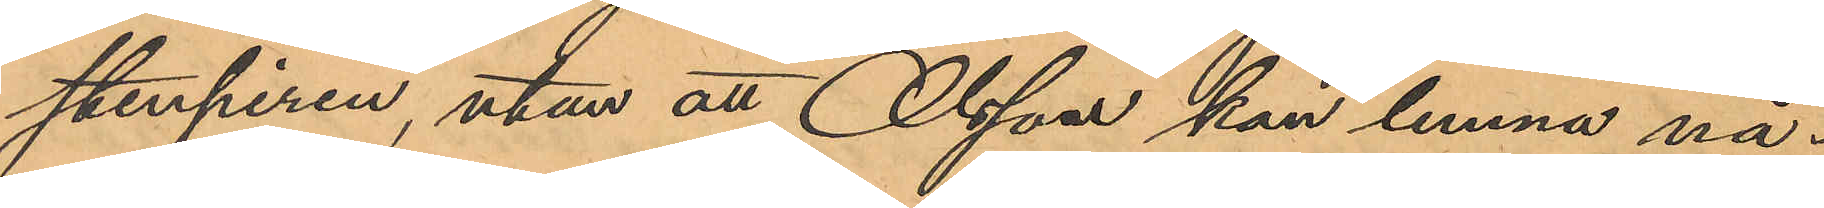Stenpiren, utan att Olsson kan lemna nå¬
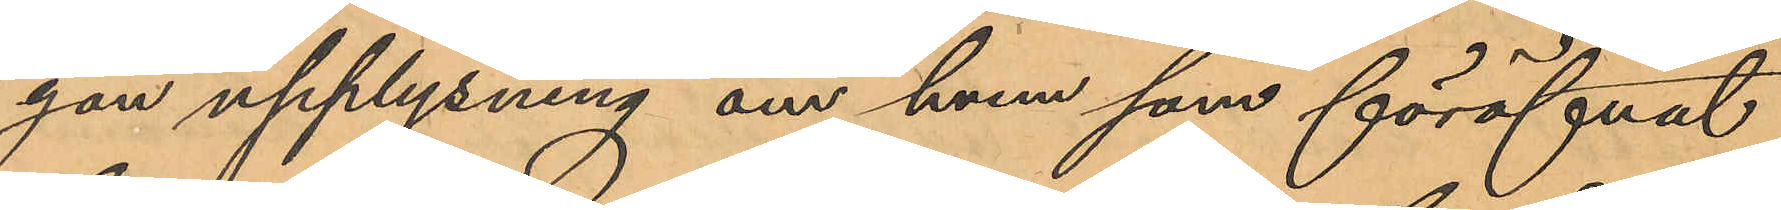gon upplysning om hvem som föröfvat
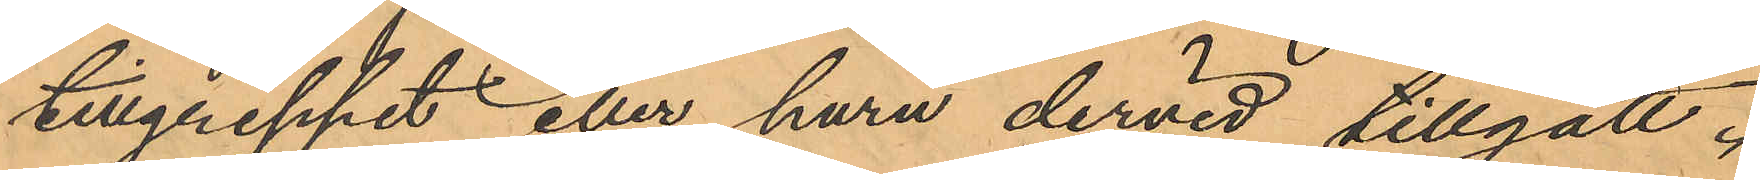tillgreppet eller huru dervid tillgått.
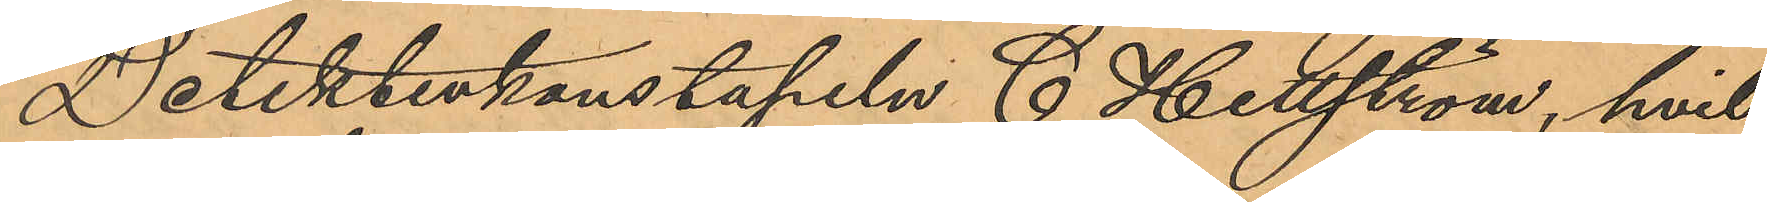Detektivkonstapeln C. Hellström, hvil¬
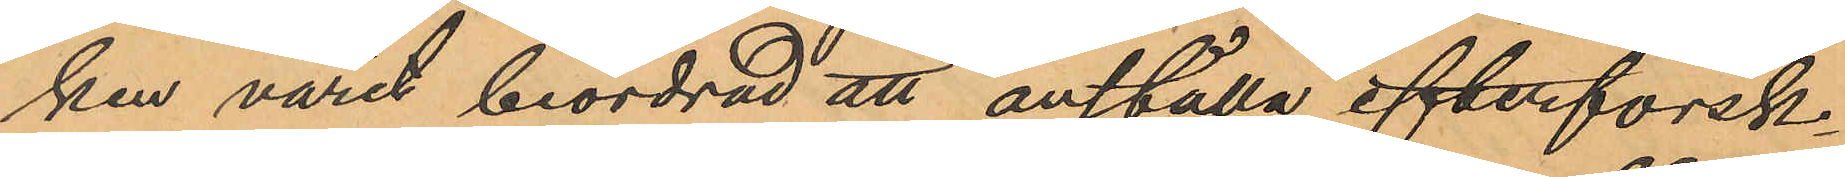ken varit beordrad att anställa efterforsk¬
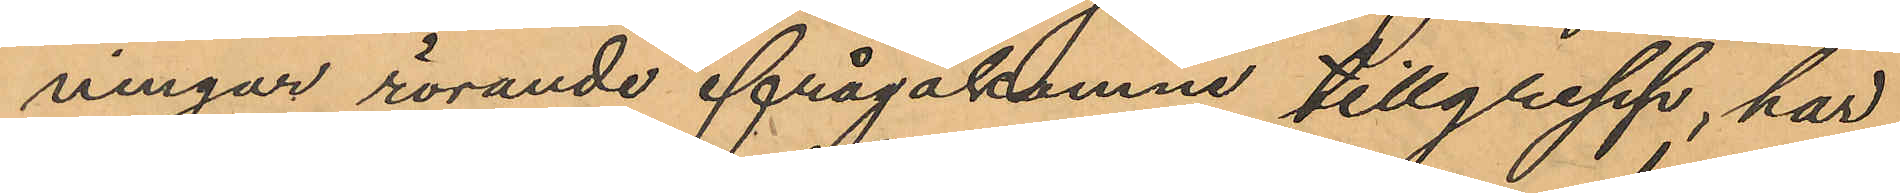ningar rörande ifrågakomne tillgrepp, har
